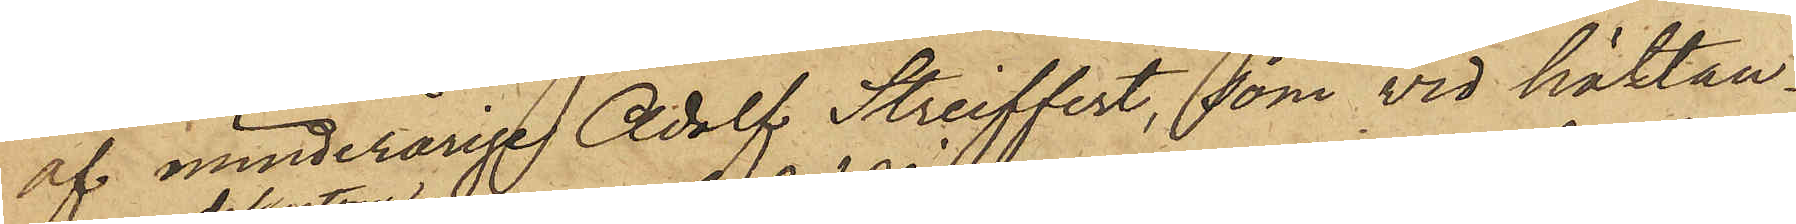af minderårige Adolf Streiffert, som vid häktan¬
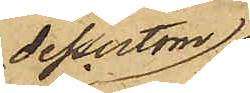dessutom
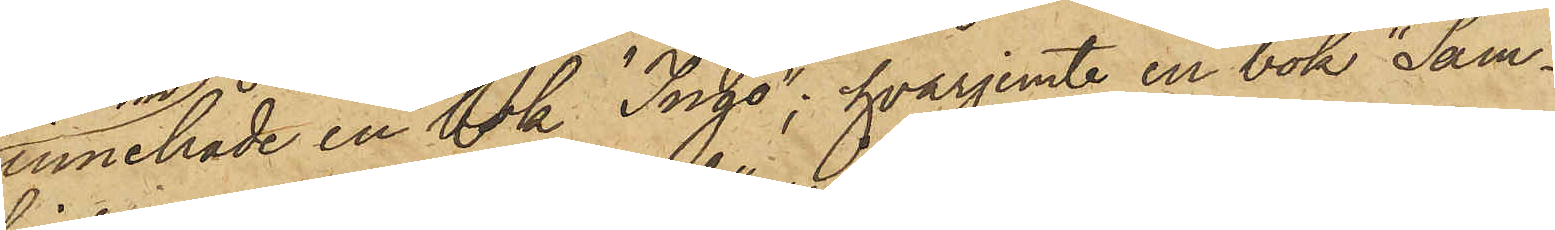innehade en bok "Ingo"; hvarjemte en bok "Sam¬
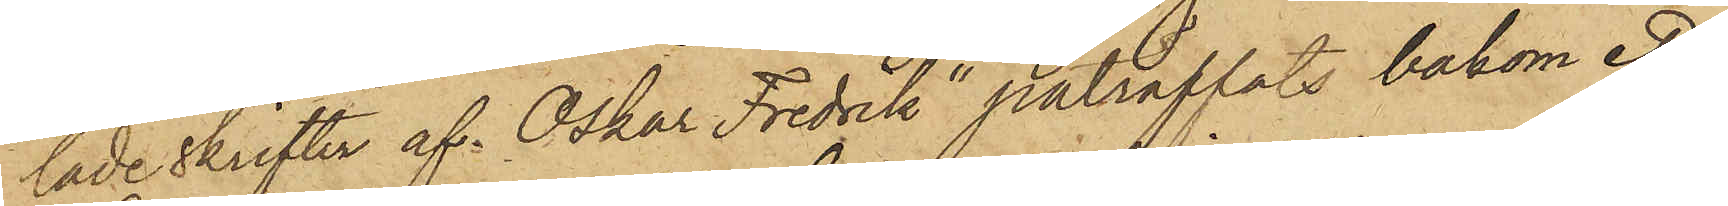lade skrifter af Oskar Fredrik" påträffats bakom ett
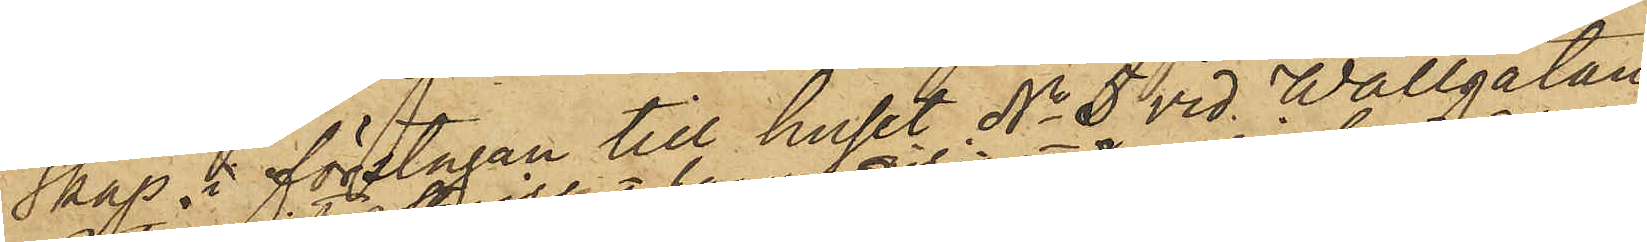skåp i förstugan till huset No 5 vid Wallgatan.
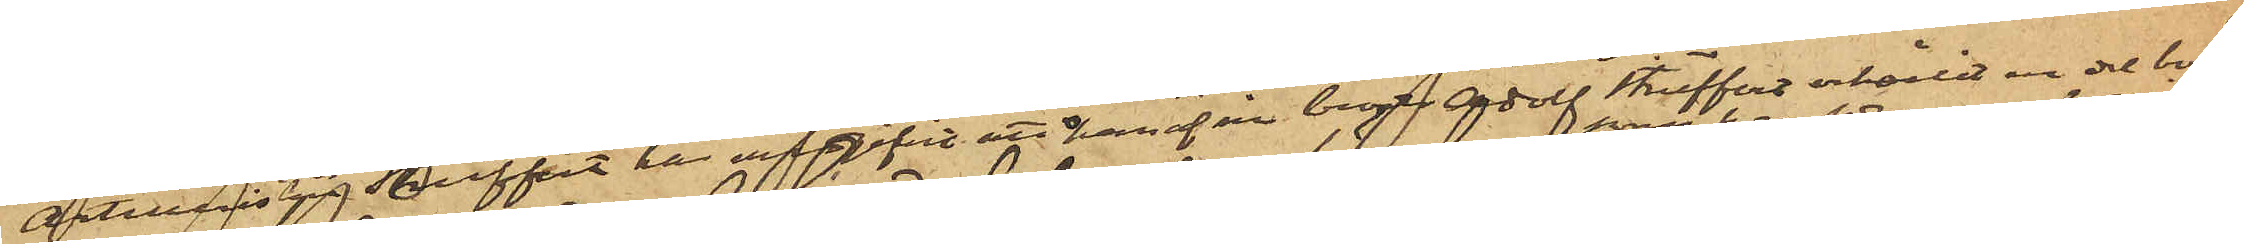Artilleristen Streiffert har uppgifvit att han af sin bror Adolf Streiffert erhållit en del böcker
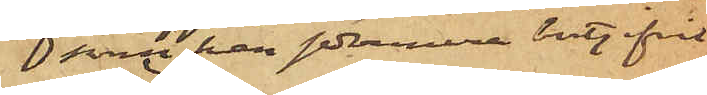som han sedermera bortgifvit.
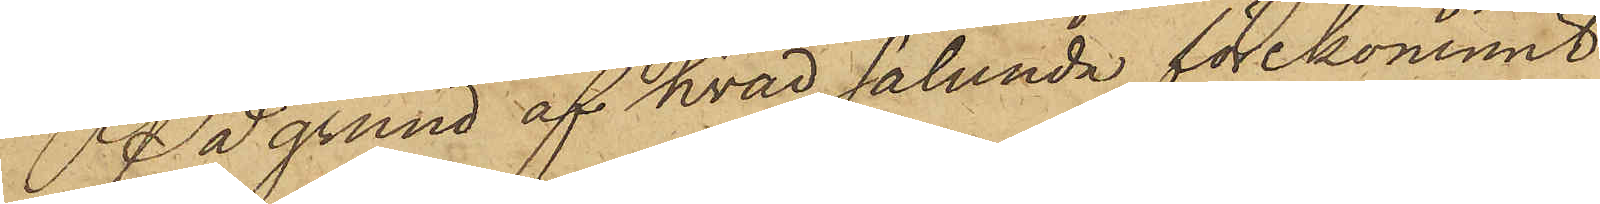På grund af hvad sålunda förekommit,
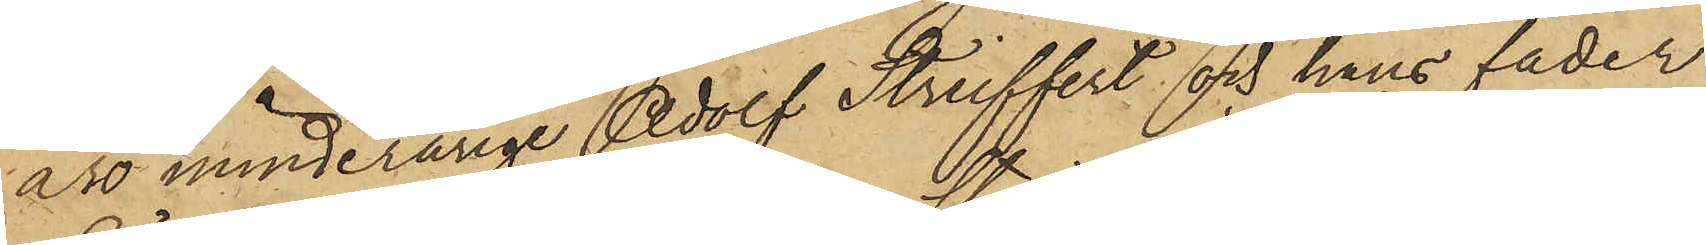äro minderårige Adolf Streiffert och hans fader
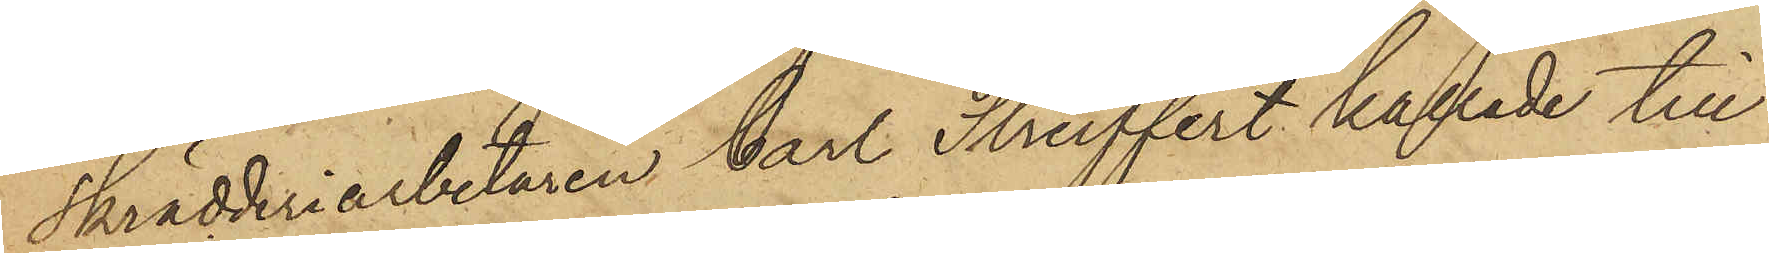Skrädderiarbetaren Carl Streiffert kallade till
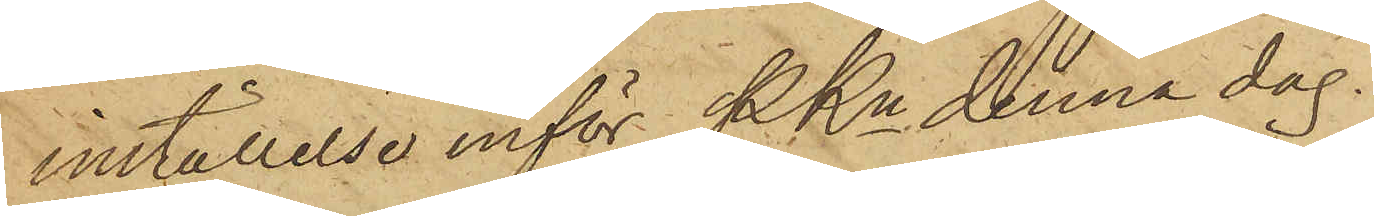inställelse inför PKn denna dag.
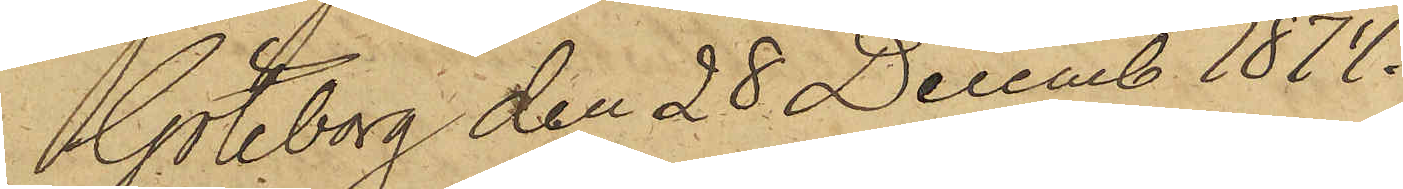Göteborg den 28 Decemb 1874.
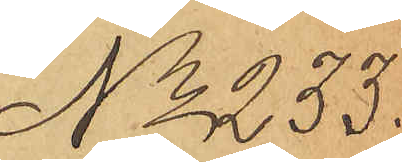No 233.
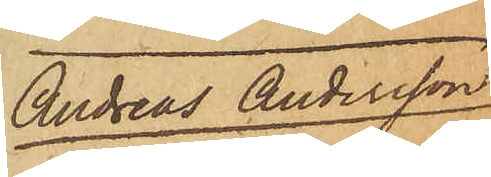Andreas Andersson
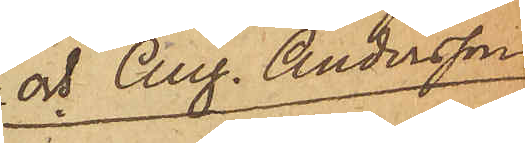och Aug. Andersson
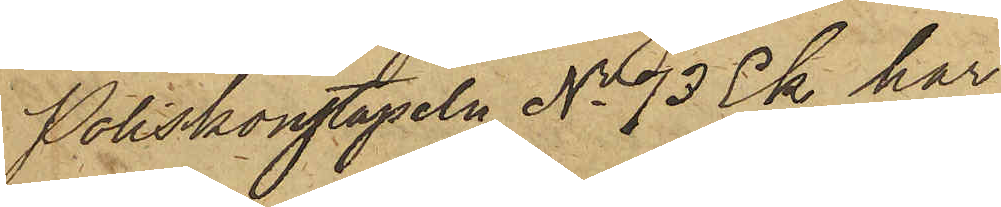Poliskonstapeln No 73 Ek har
